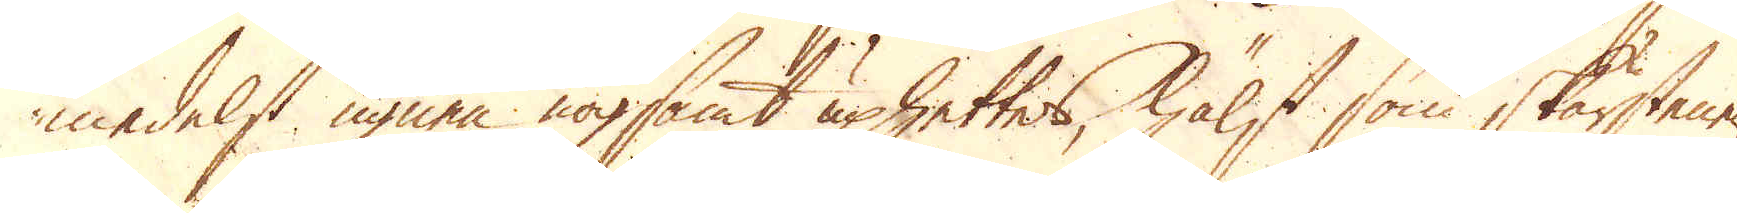medelst ugnen nogsamt uphettes, hälst som skärstenen
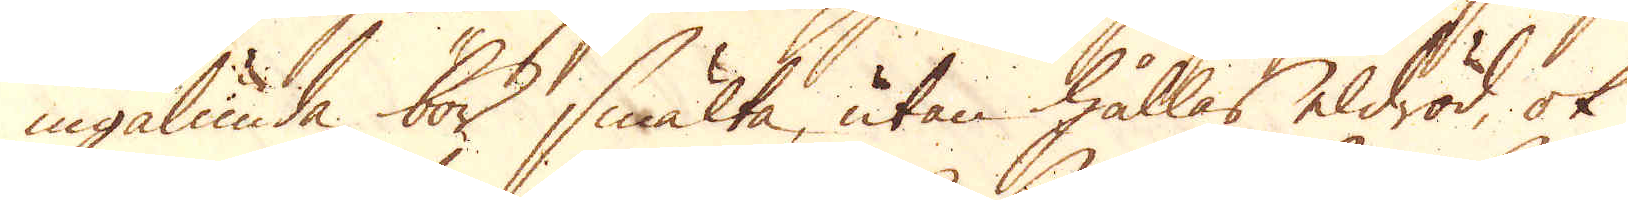ingalunda bör smälta, utan hållas eldröd, ok
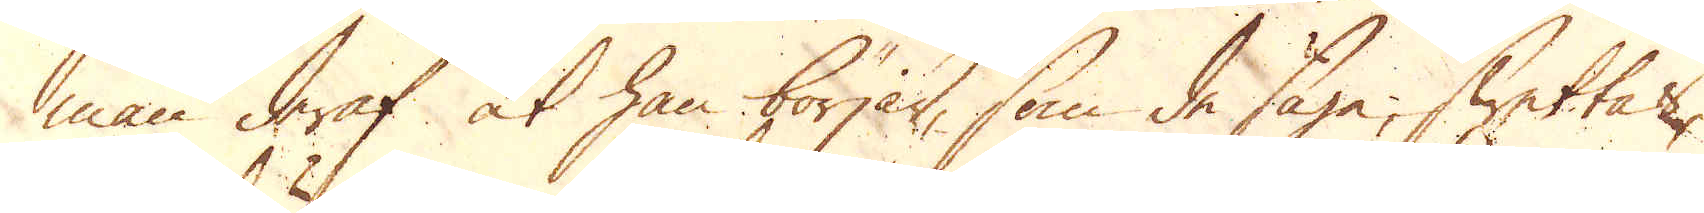man deraf at han börjar, som de säga, swettas,
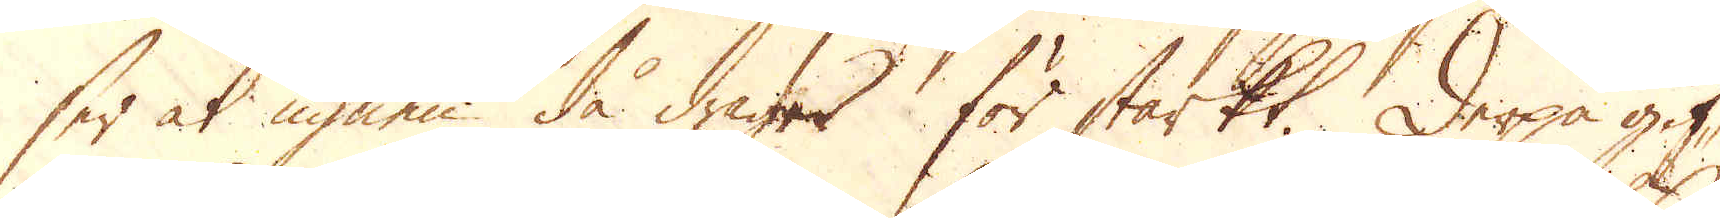ser at ugnen då drager för starkt. Derpå gif-
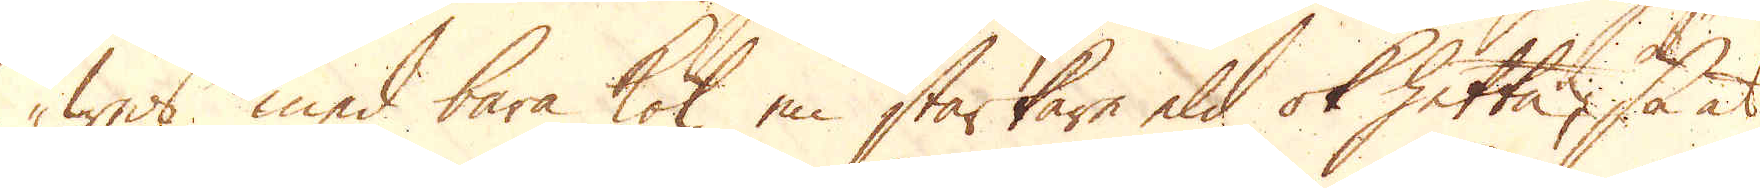wes med bara kol en starkare eld ok hetta, så at
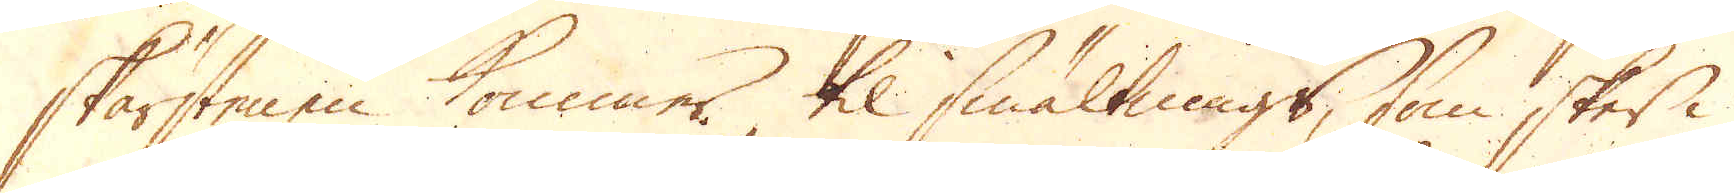skärstenen kommer til smältnings, som sker i
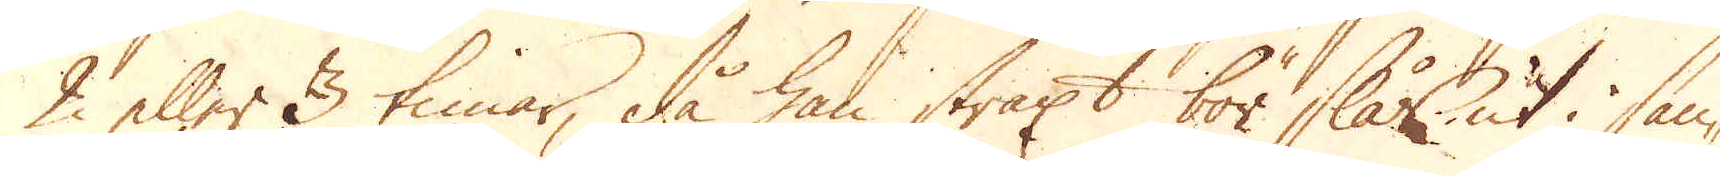2 eller 3 timar, då han straxt bör slås ut i san-
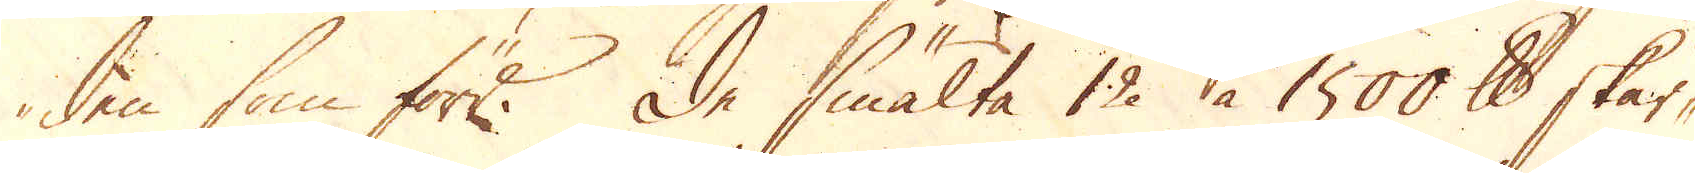den som förr. De smälta 12 à 1500 skålpund skär-
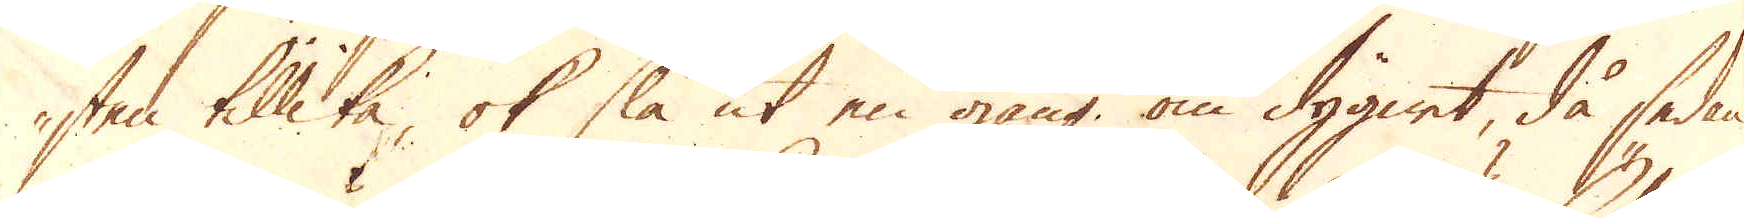sten tillika, ok slå ut en gång om dygnet, då sedan
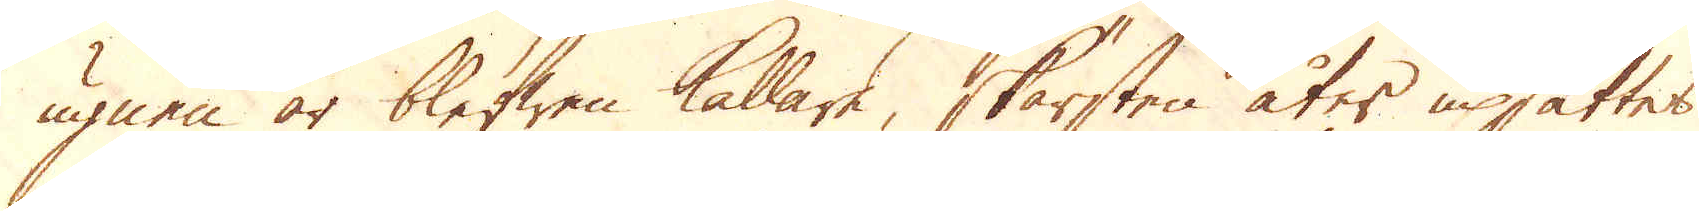ugnen är blefwen kallare, skärsten åter upsättes
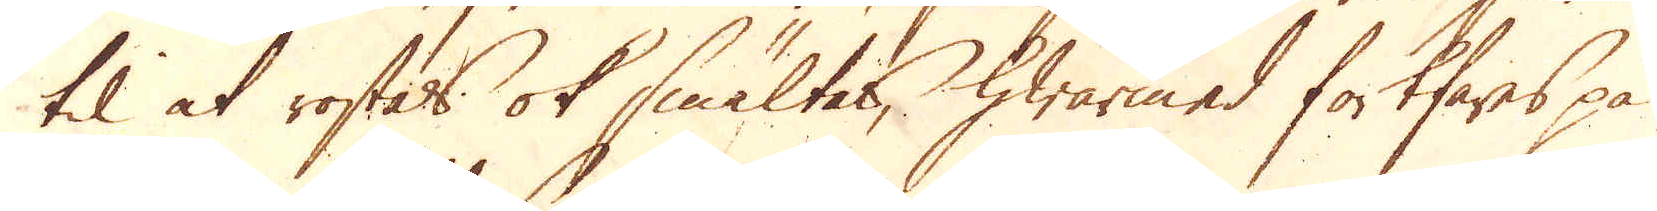til at rostas ok smältas, hwarmed fortfares på
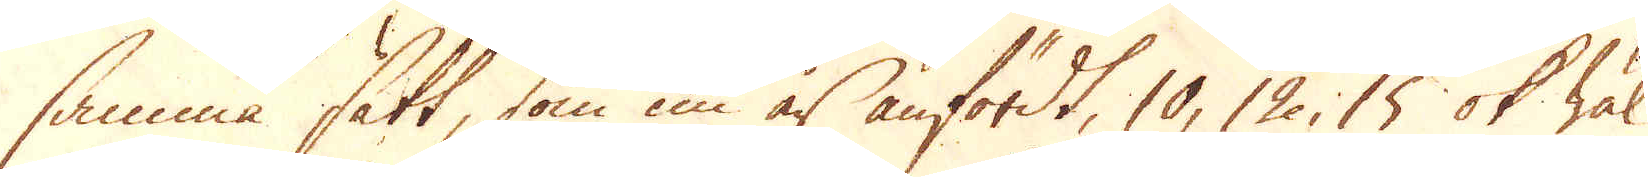samma sätt, som nu är anfördt, 10, 12, 15 ok wäl
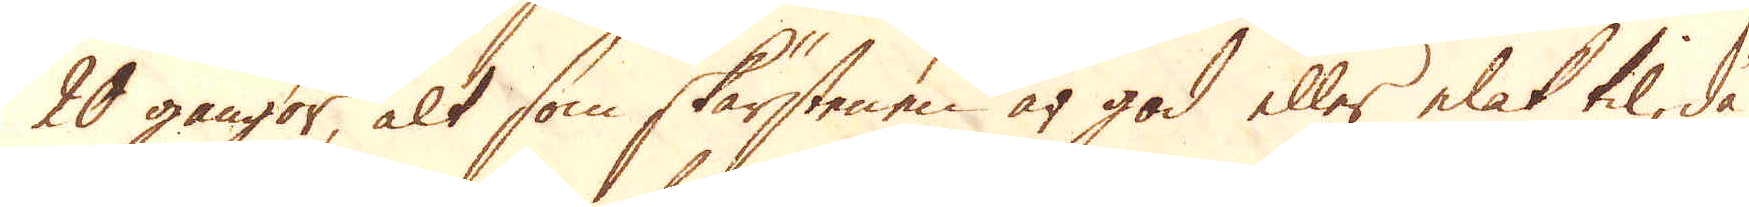20 gångor, alt som skärstenen är god eller elak til, då
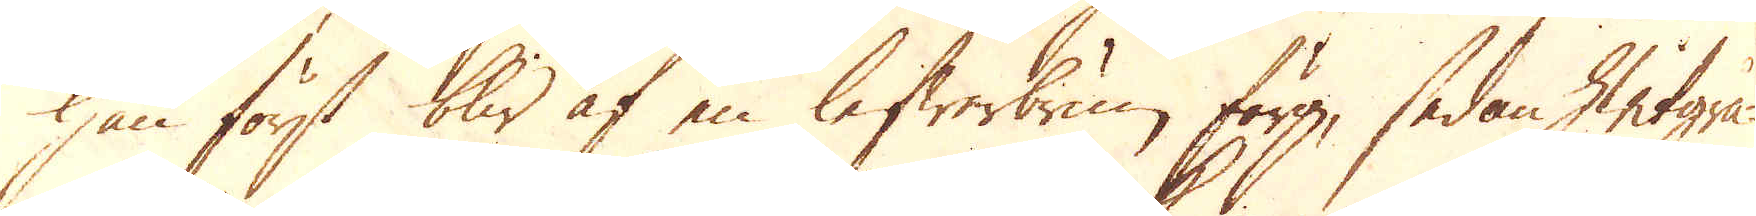han först blir af en lefwerbrun färg, sedan hwitgrå-
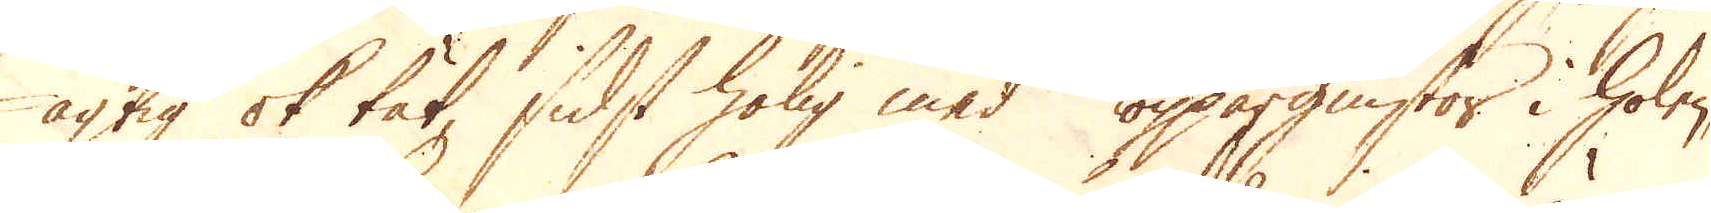agtig ok tät, sidst holig med Koppargnistor i holen,
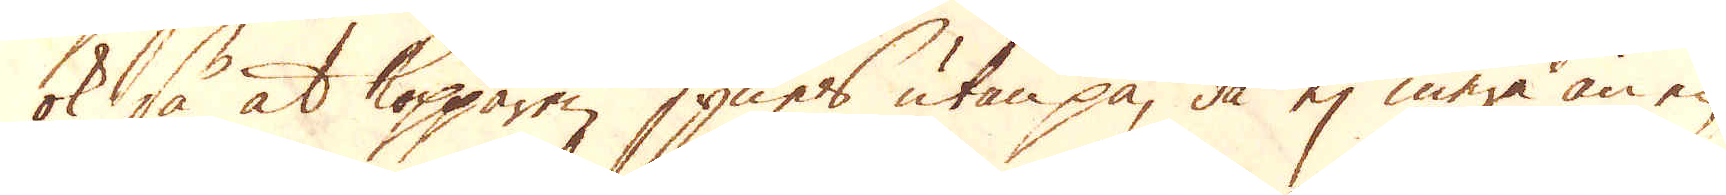ok så at kopparen synes utan på, då ej mera än en
